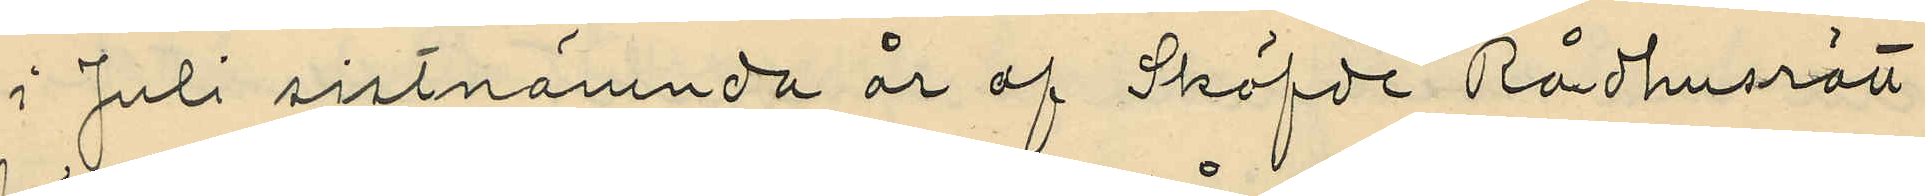i Juli sistnämnda år af Sköfde Rådhusrätt
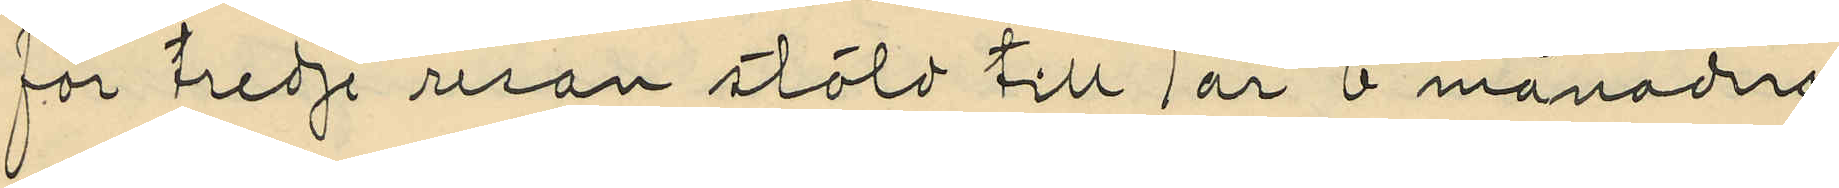för tredje resan stöld till 1 år 6 månaders
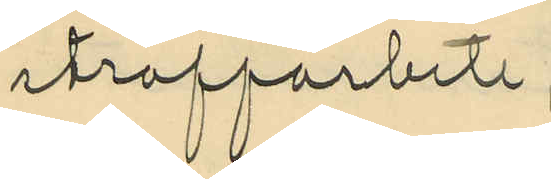straffarbete;
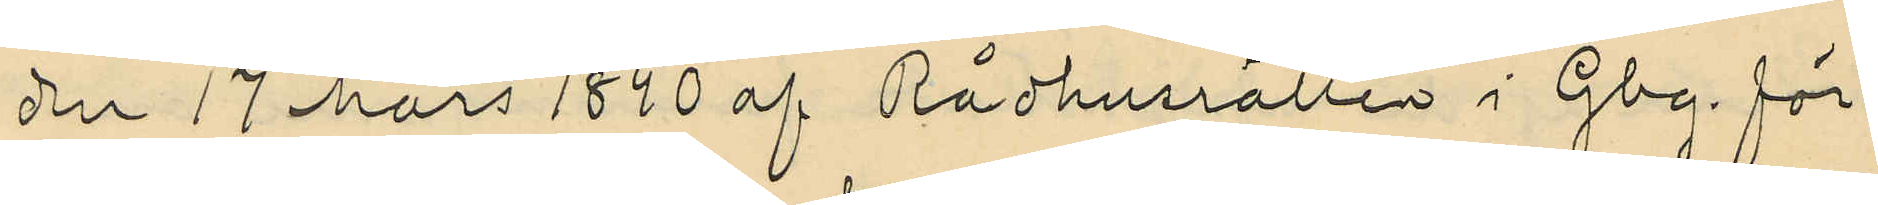den 17 Mars 1890 af Rådhusrätten i Gbg för
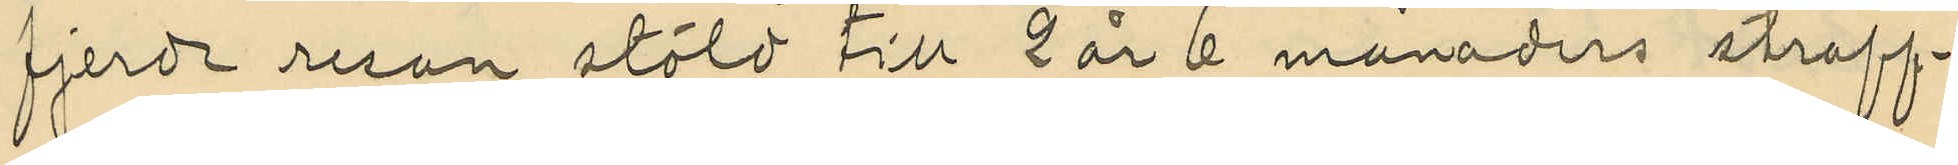fjerde resan stöld till 2 år 6 månaders straff¬
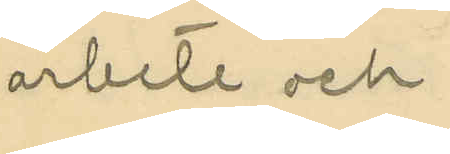arbete och
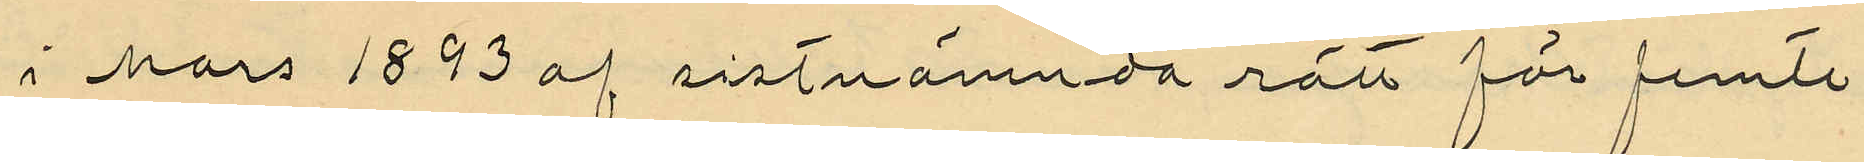i Mars 1893 af sistnämnda rätt för femte
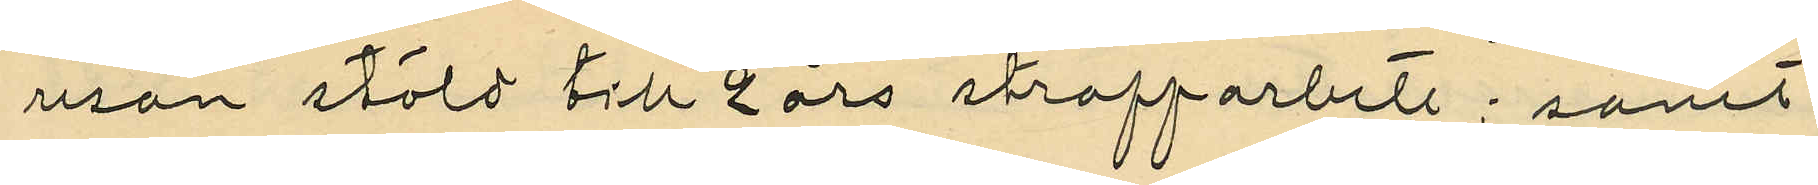resan stöld till 2 års straffarbete; samt
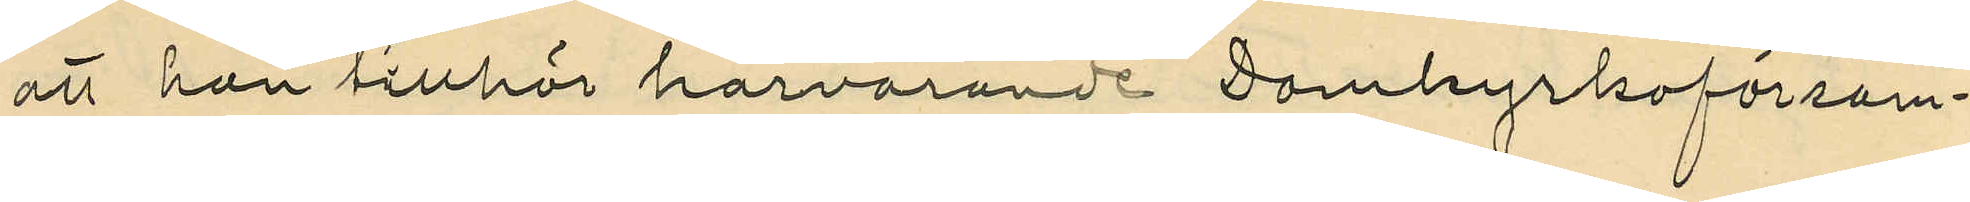att han tillhör härvarande Dombyrkoförsam¬
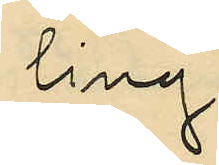ling.
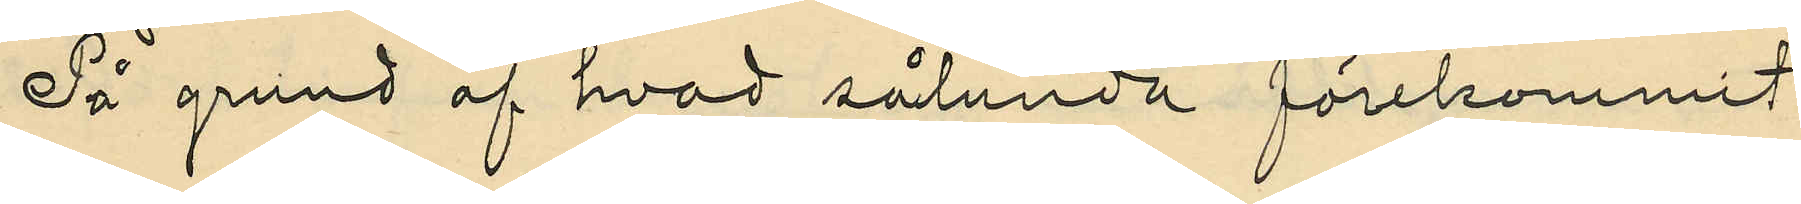På grund af hvad sålunda förekommit
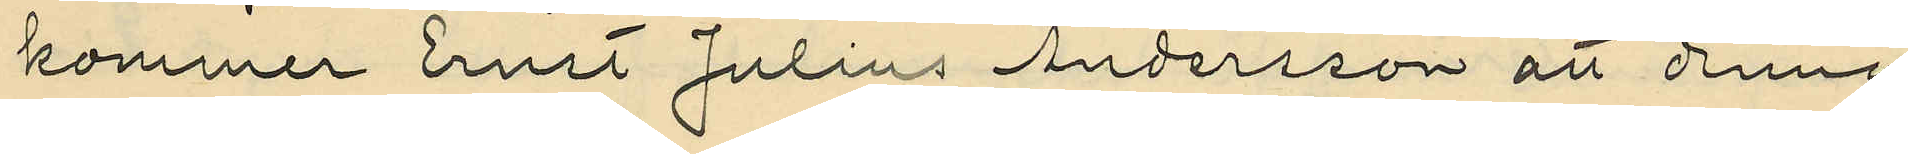kommer Ernst Julius Andersson att denna
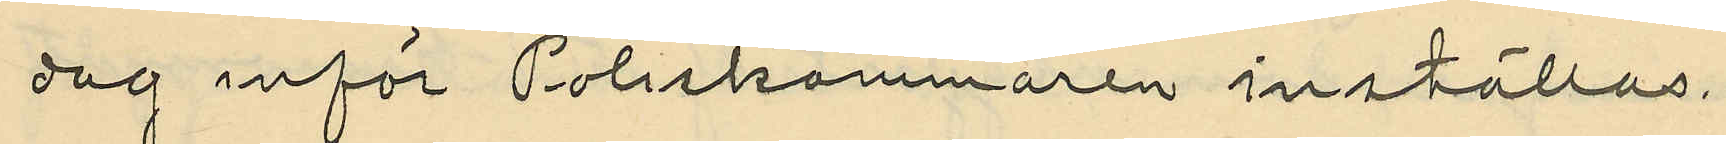dag inför Poliskammaren inställas.
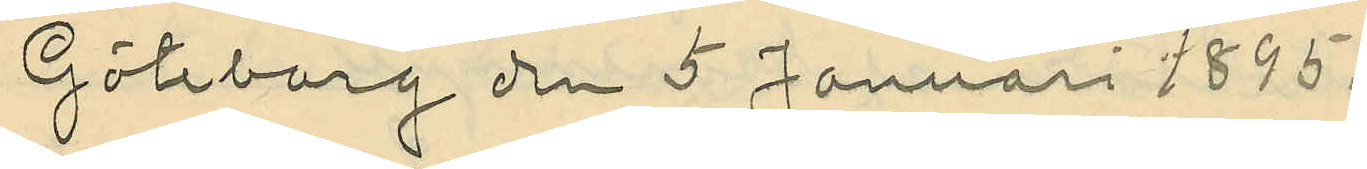Göteborg den 5 Januari 1895.
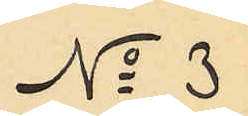No 3
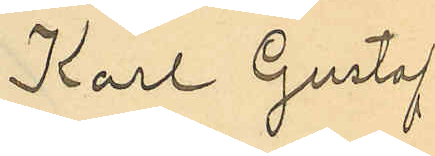Karl Gustaf
